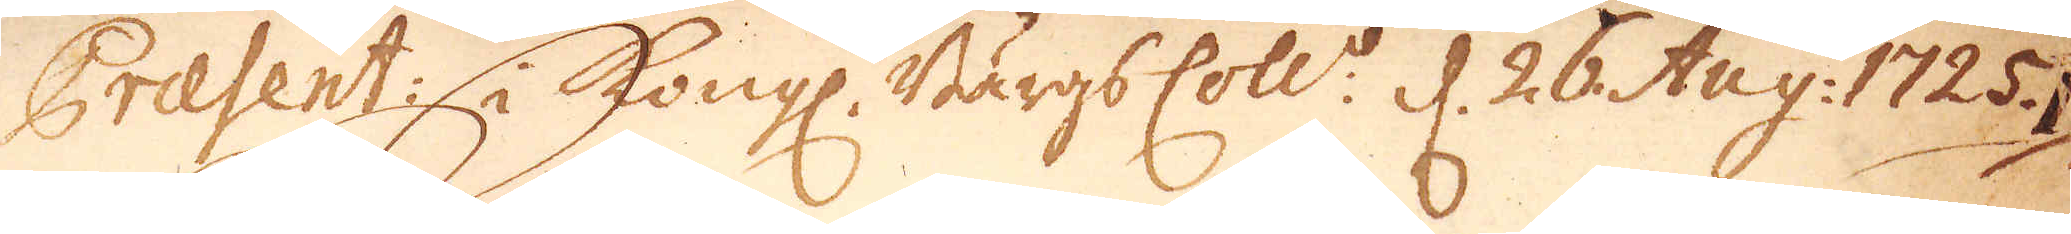Præsent: i Kongl. Bärgs Coll:o d. 26 Aug: 1725.
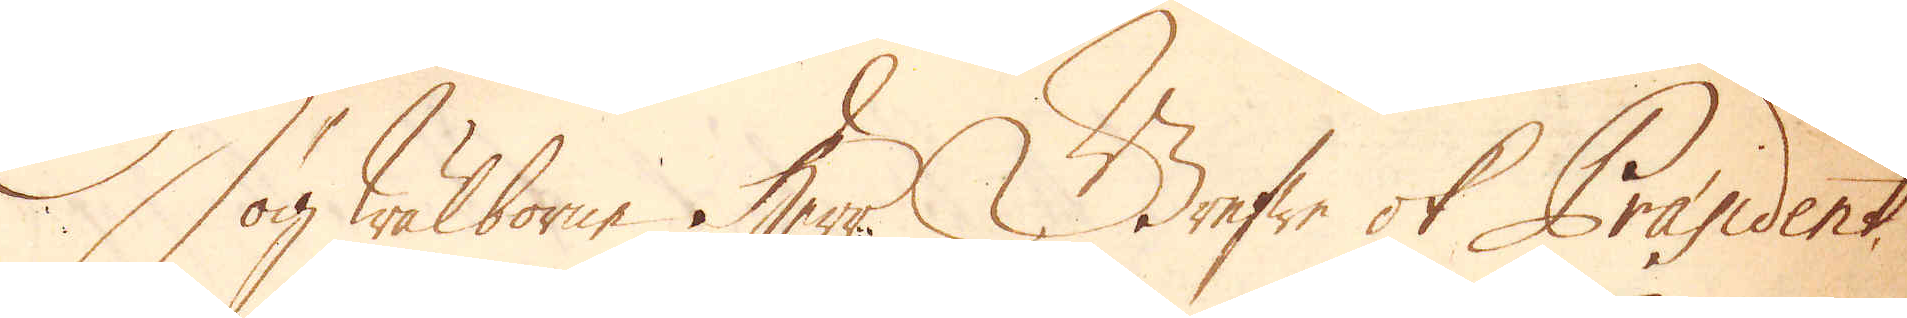Högwälborne Herr Grefwe och Praesident
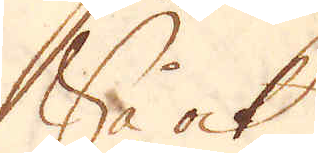Så ock
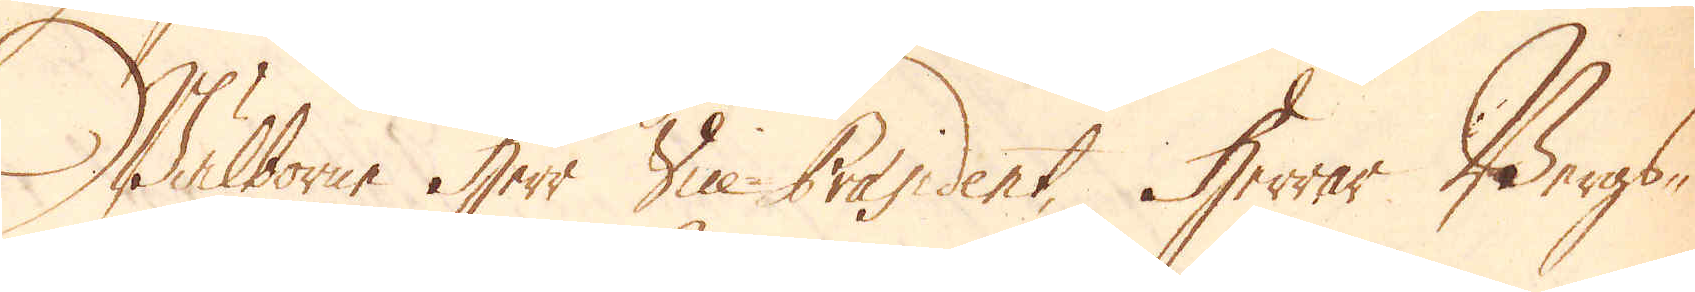Wälborne herr Vice Praesident, Herrar Bergs-
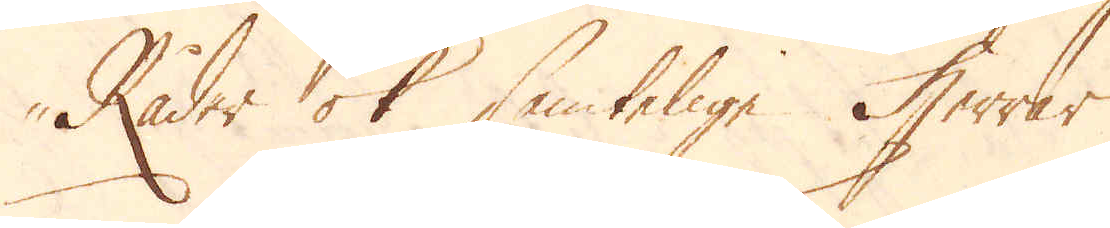Råder ock samtelige Herrar
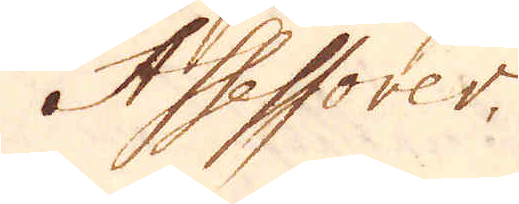Assessorer.
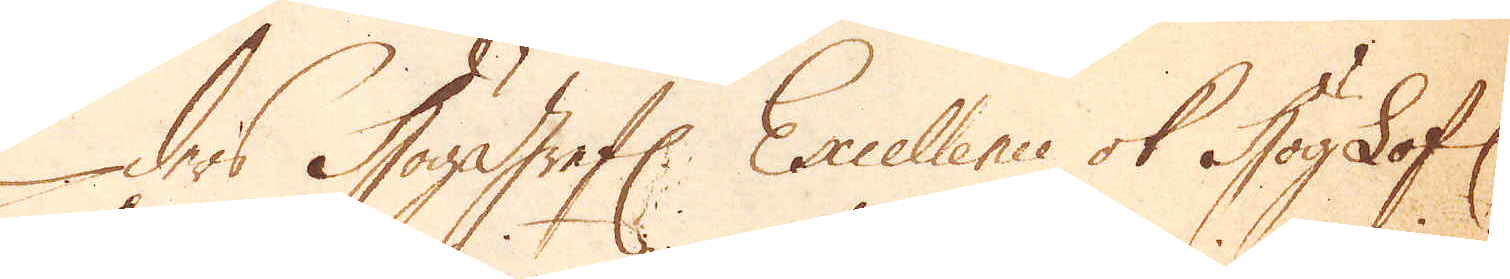Eders Höggrefl: Excellence ok HögLofl:
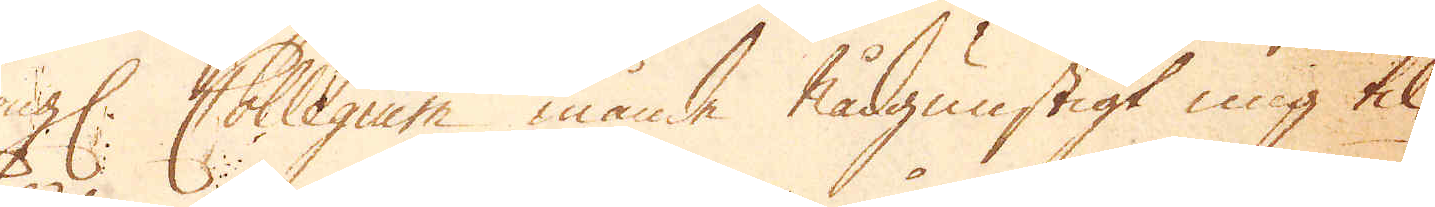Kongl. Collegium månde Nådgunstigt mig til-
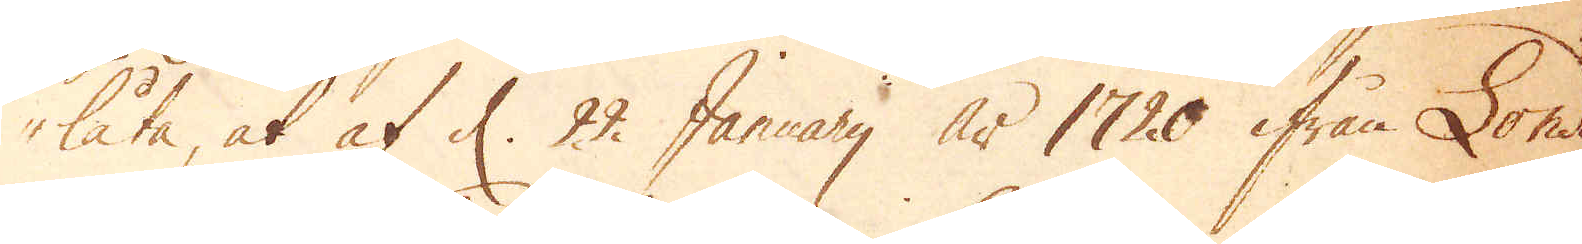låta, at af d. 22 Januarij år 1720 ifrån London
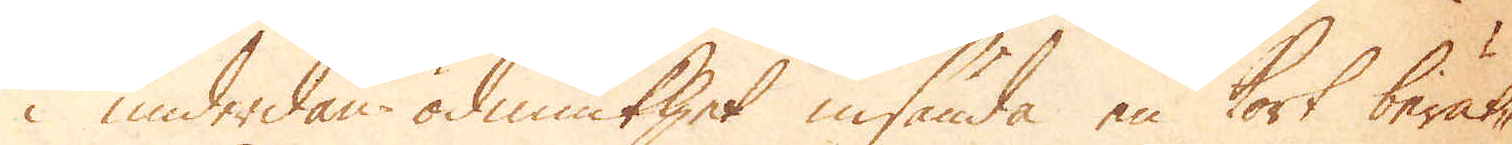i underdån-ödmiukhet insända en kort berät-
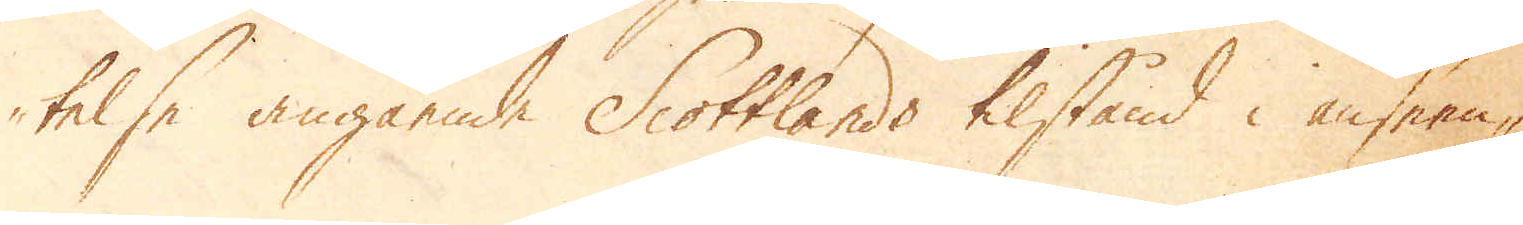telse angående Scottlands tilstånd i anseen-
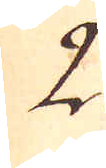2.
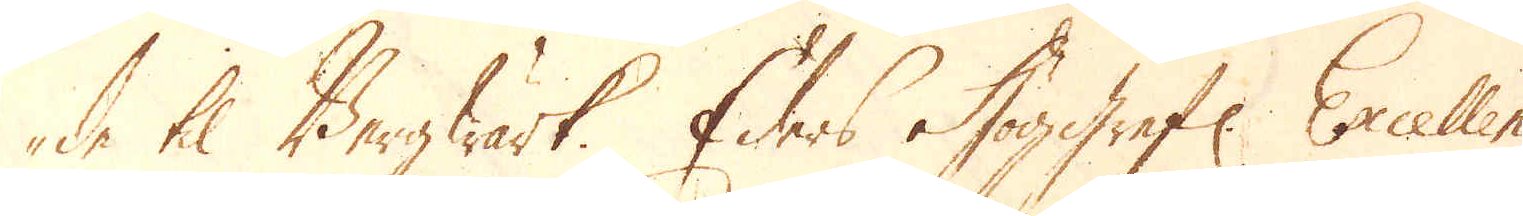de til Bergwärk. Eders Höggrefl: Excellence
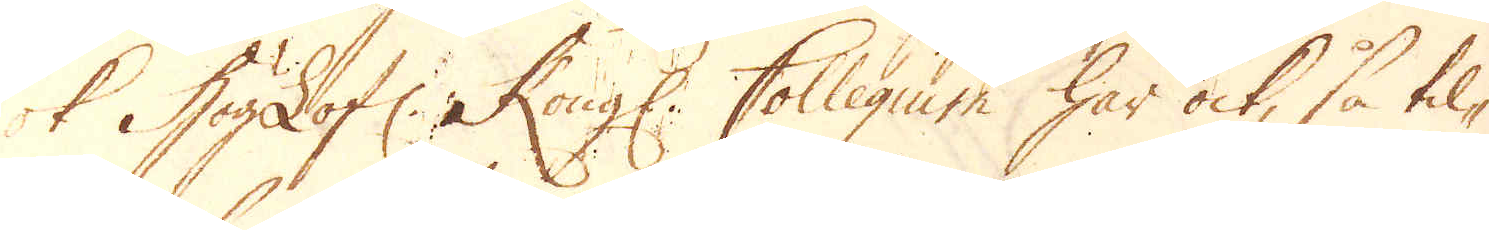ock Höglofl: Kongl: Collegium har ock, så til-
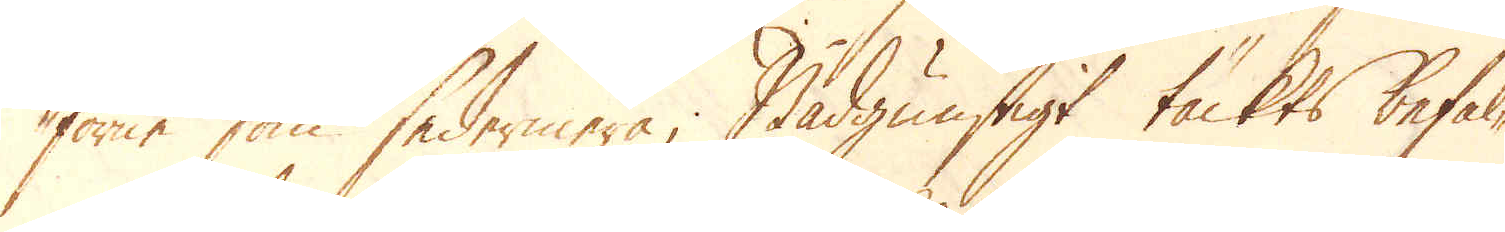förne som sedermera, Nådgunstigt täckts befal-
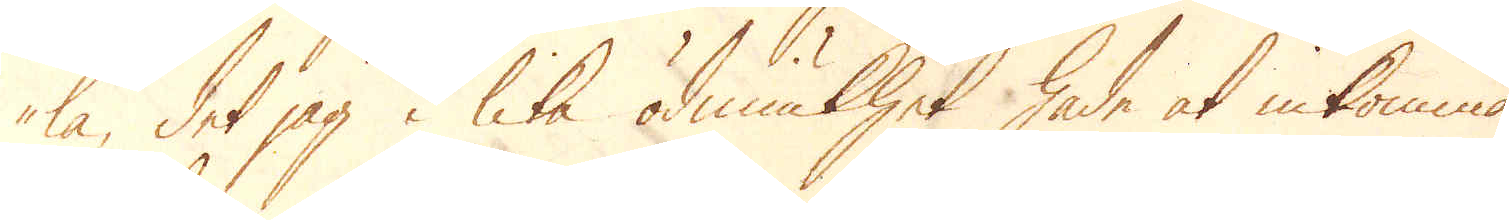la, det jag i lika ödmiukhet hade at inkomma
